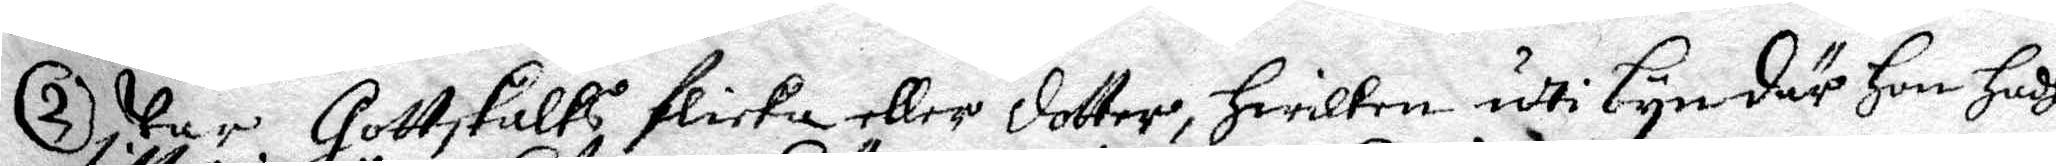2. war Gottskalks flicka eller dotter, hwilken uti byn där hon hade
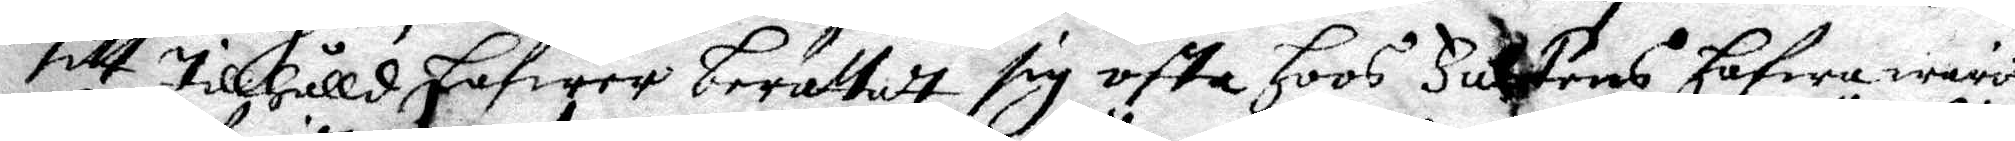sitt tillhåll hafwer berättat sig ofta hoos Falkens hafwa warit
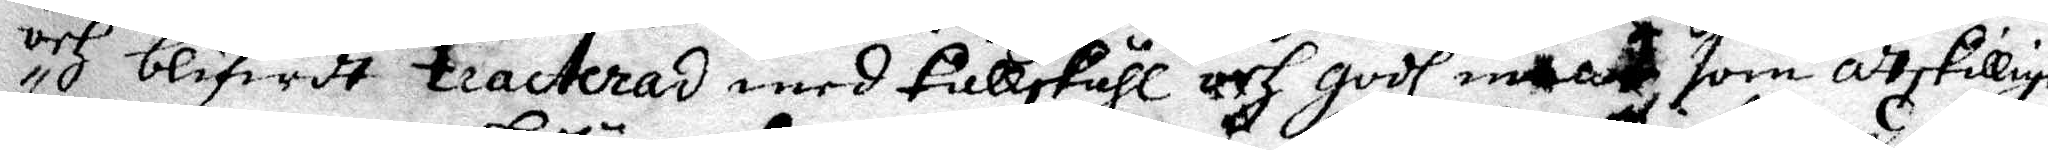och bliwit trackteras med kullskåhl och godh maat som åtskillige
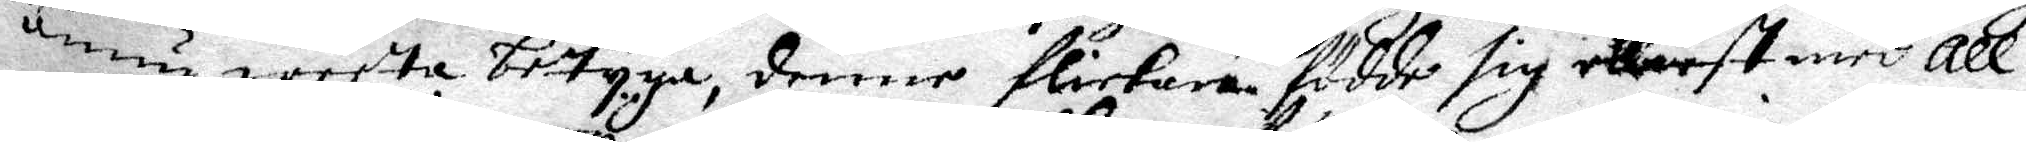ännu weeta betyga, denne flickan födde sig elliest med all¬
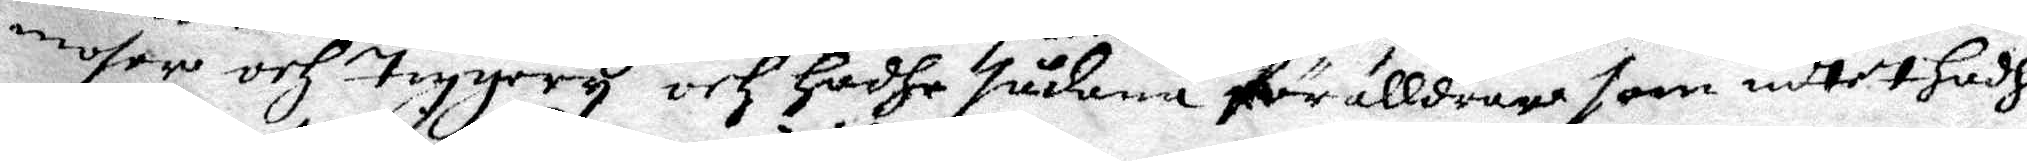mosor och tiggery och hadhe sådana förälldrar som intet hadhe
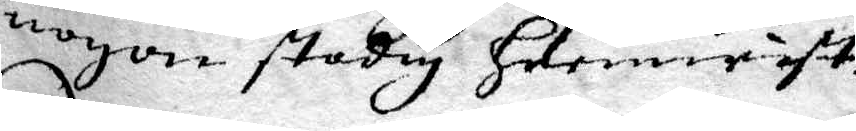nogon stadig hemwist.
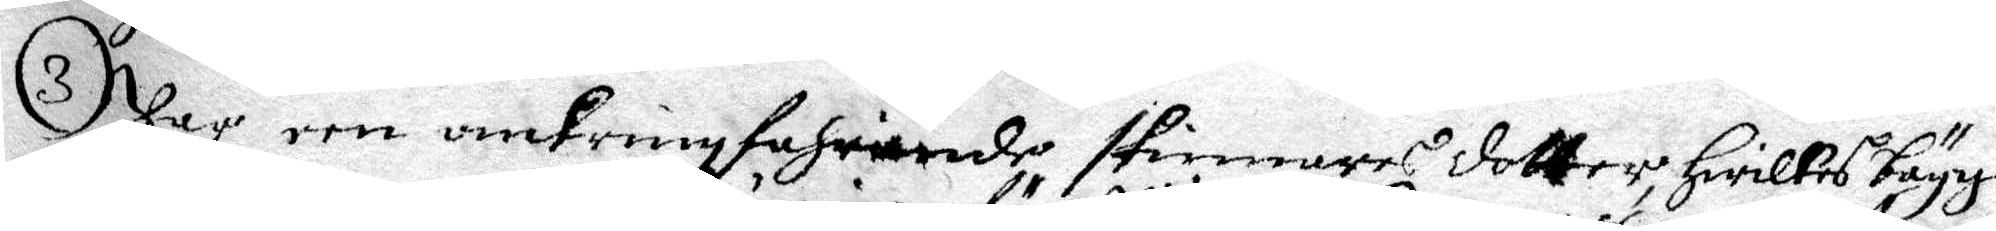3 Var een omkringfahrande skinnares dotter, hwilkes bägge
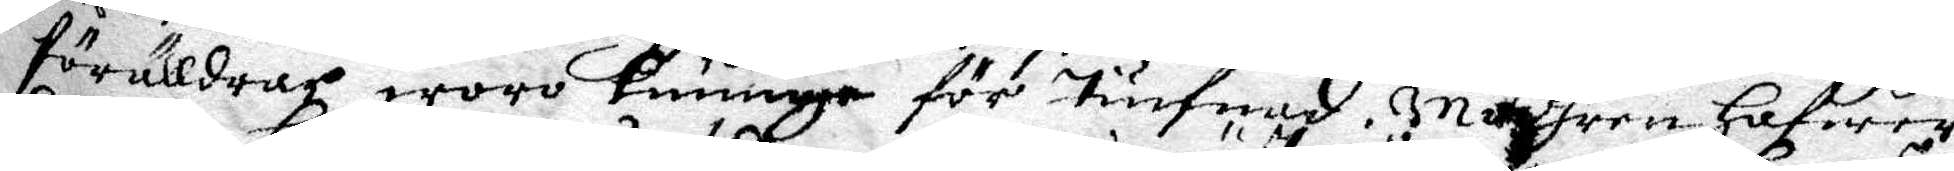förälldrar woro kunnige för tiufnad. modhren hafwer
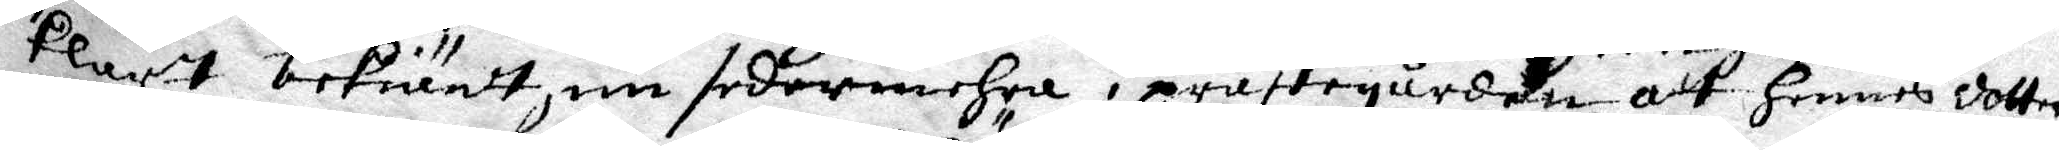klart bekiänt nu sedermehra i prästgården att hennes dotter
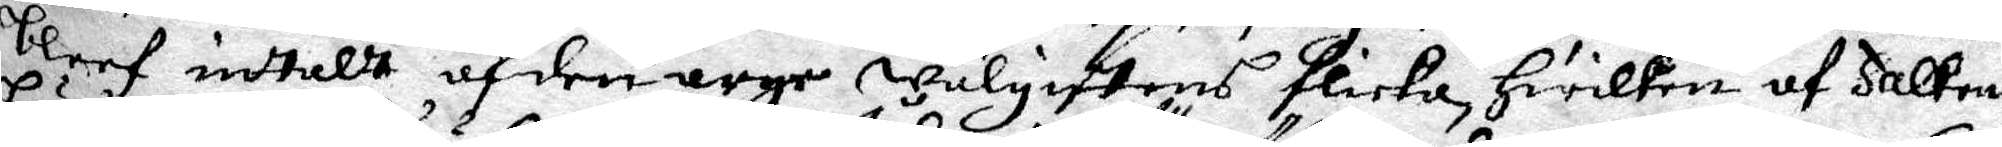bleef intalt af den arge wälgiftens flicka, hwilken af Falkens
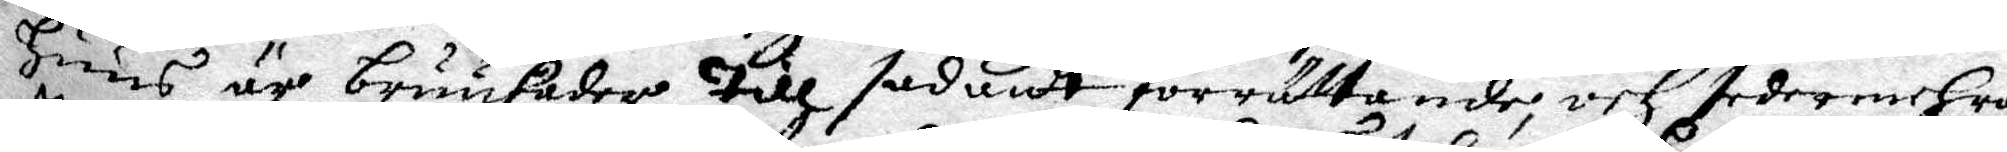huus är bruukader till sådant förrättande, och sedermehra
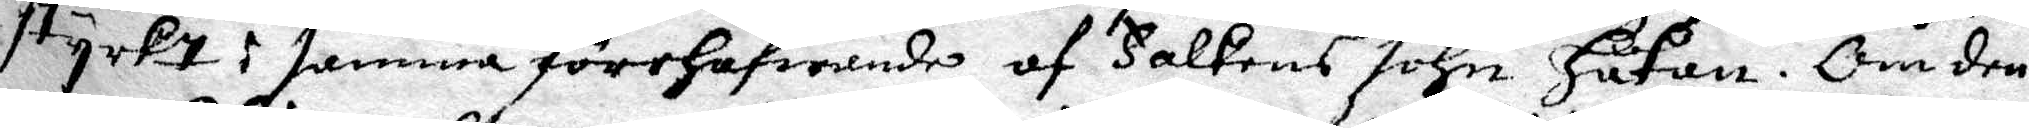styrkt i samma förehafwande af Falkens sohn Håkan, Om den¬
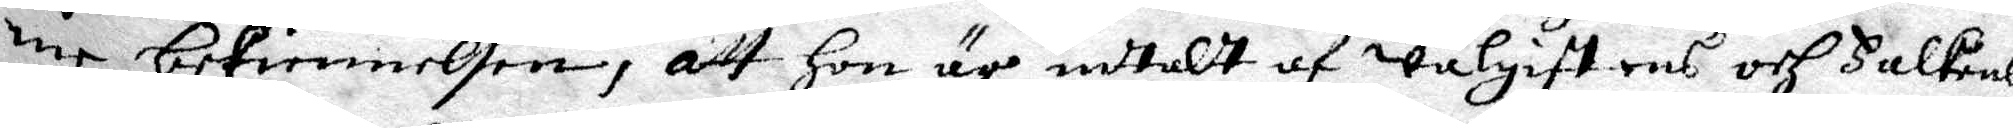ne bekiennelsen, att hon är intalt af wälgiftens och Falkens
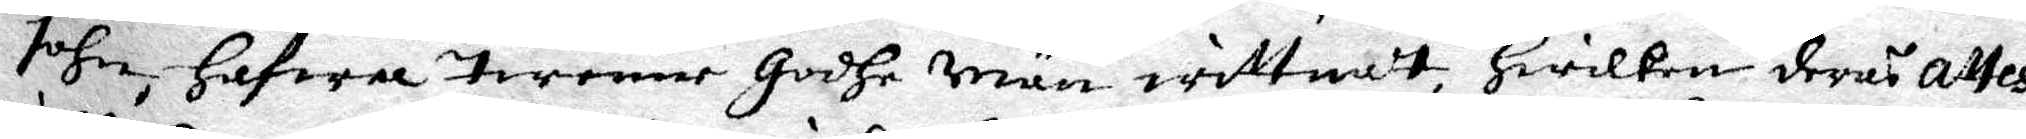sohn, hafwa twenne godhe män wittnat, hwilken deras attest
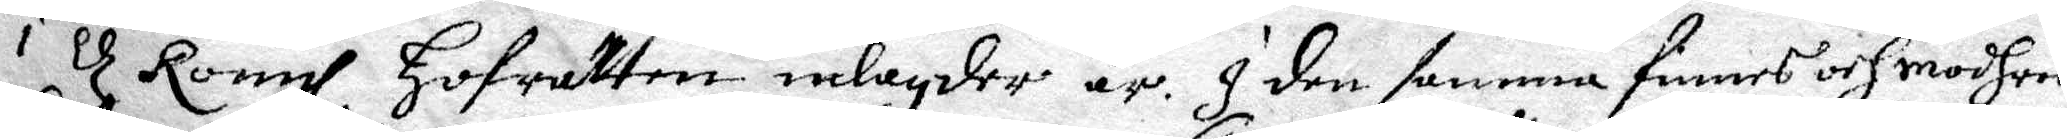i d Kongl Hofrätten inlagde är. I den samma finnes och modhren
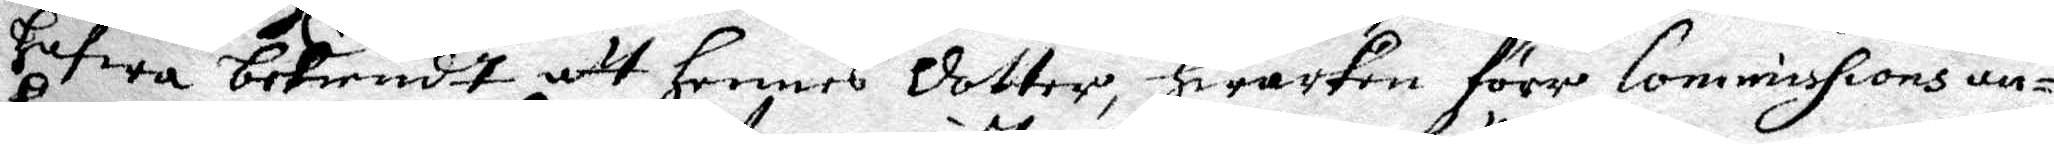hafwa bekiendt att hennes dotter, hwarken förr Commissions an¬
